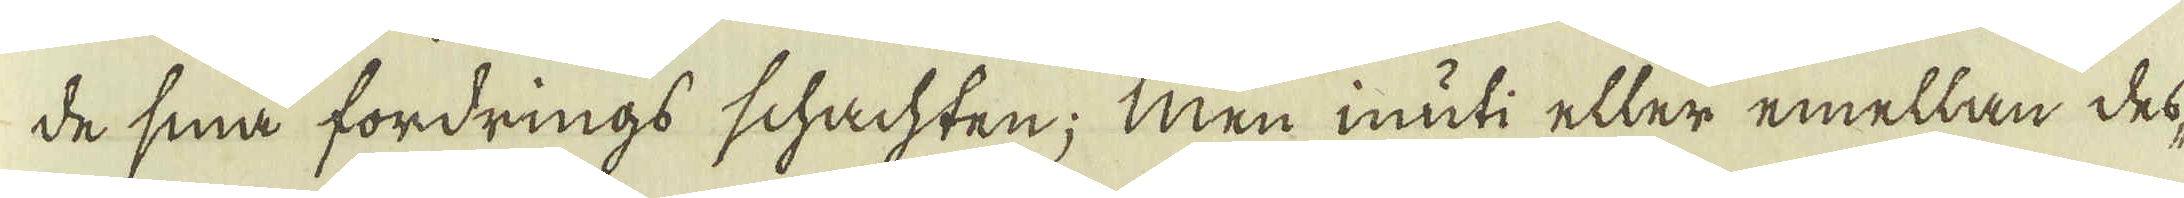de sina fordrings schachten; Men inuti eller emellan des-
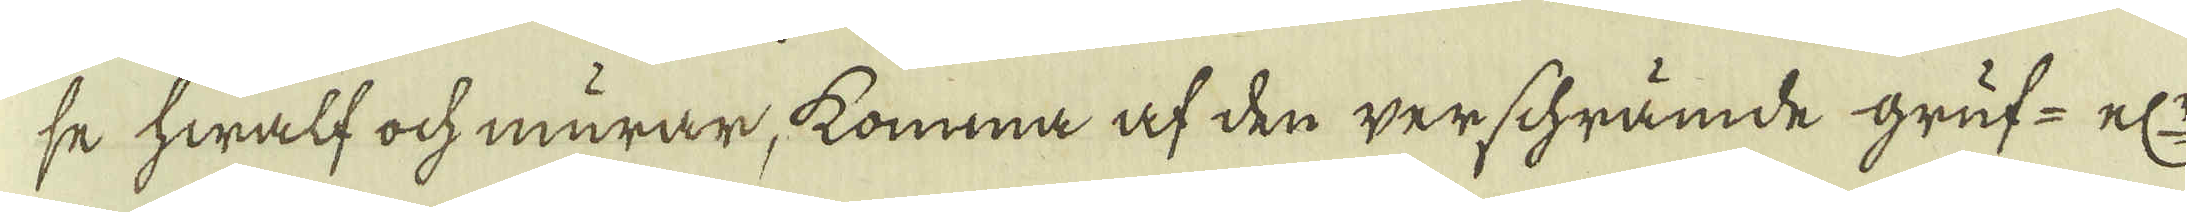se hwalf och murar, komma af den werschrämde gruf- el:r
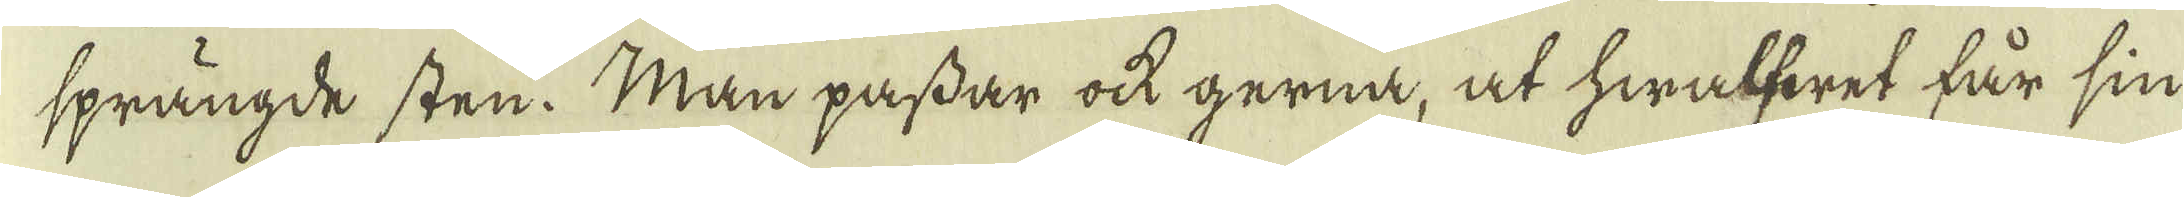sprängde sten. Man passar ock gerna, at hwalfwet får sin
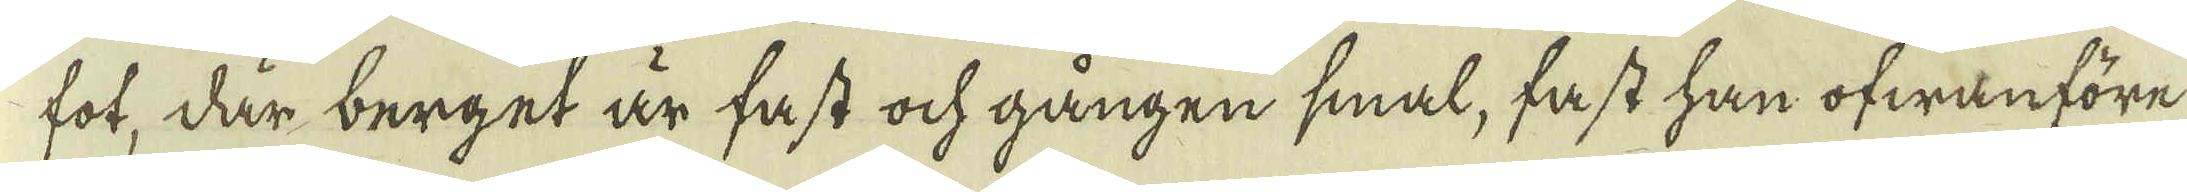fot, där berget är fast ock gången smal, fast han ofwanföre
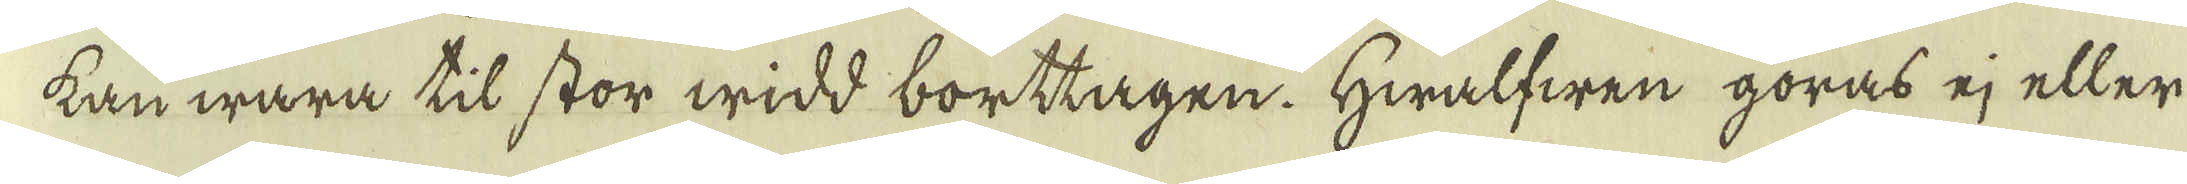kan wara til stor widd borttagen. Hwalfwen göras ej eller
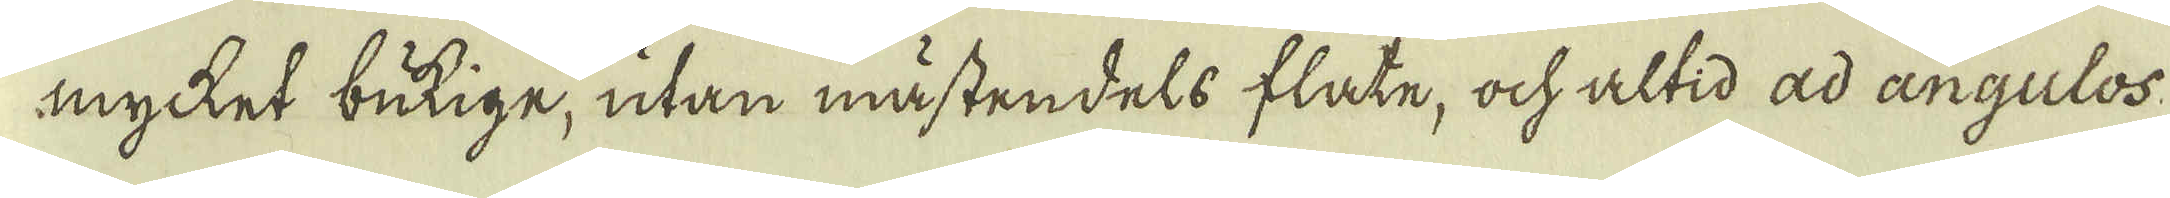mycket betige, utan mästendels flate, ock altid ad angulos:
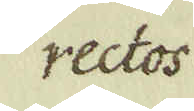rectos
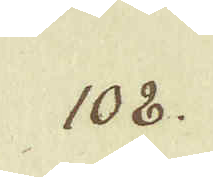108.
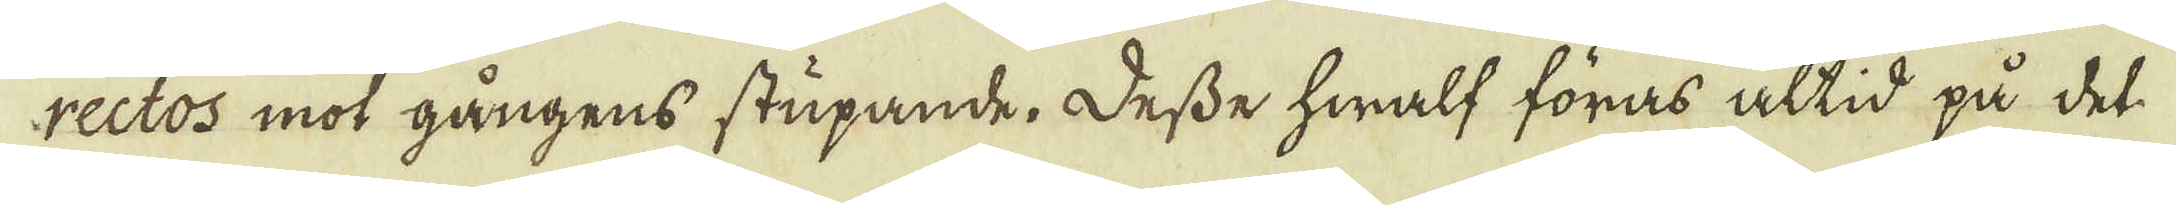rectos mot gångens stupande. Desse hwalf föras altid på det
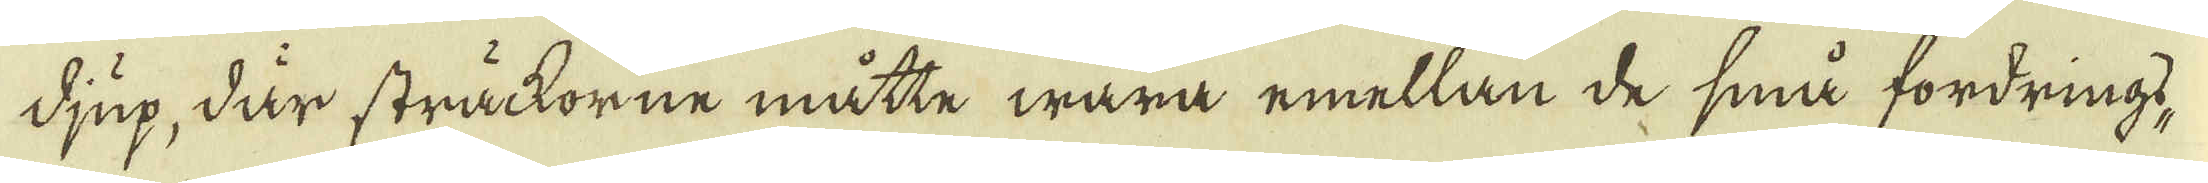djup, där sträckorne måtte wara emellan de små fordringd-
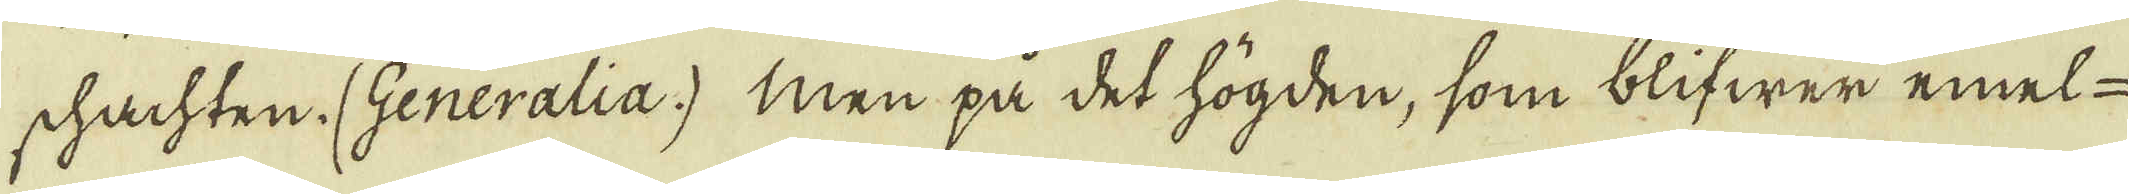schachten. (Generalia.) Men på det högden, som blifwer emel-
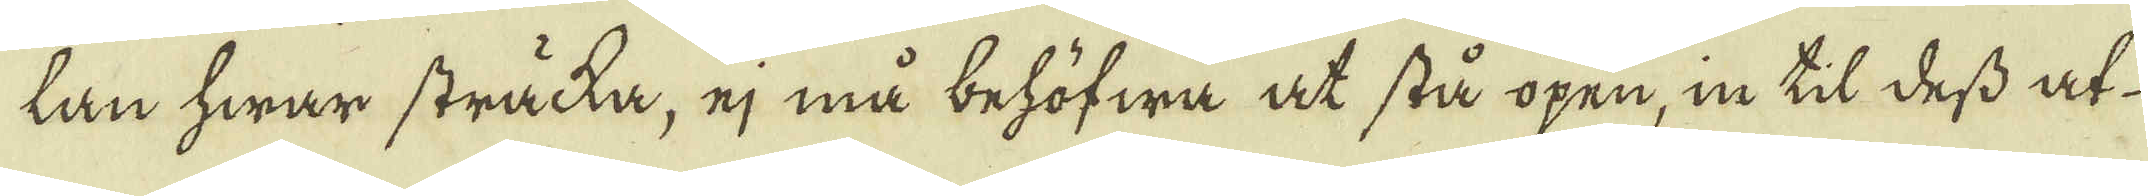lan hwar sträcka, ej må behöfwa at stå öpen, in til dess at
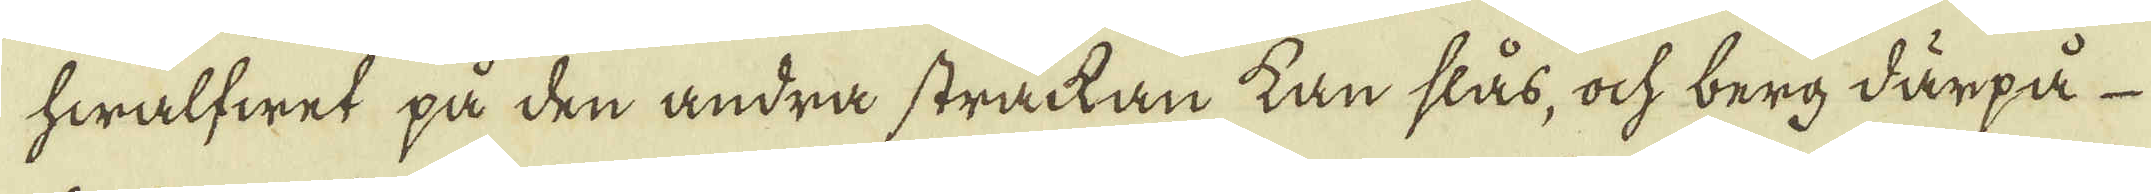hwalfwet på den andra sträckan kan slås, ock berg därpå
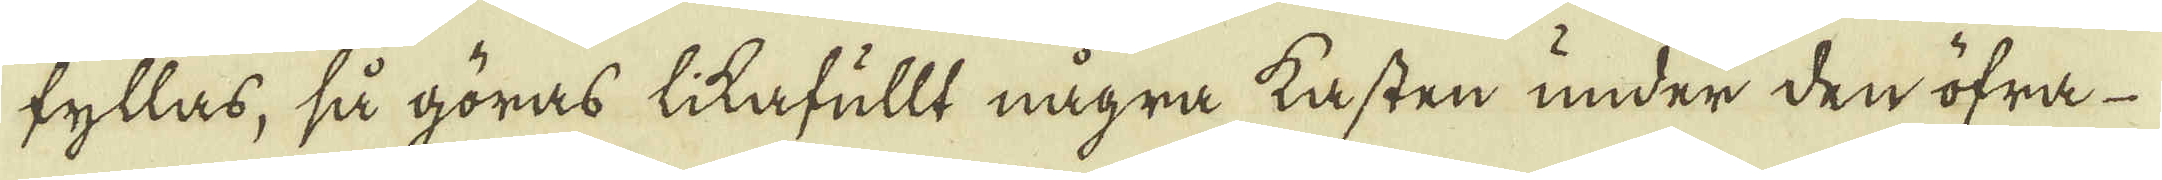fyllas, så göras likafullt några kasten under den öfrå-
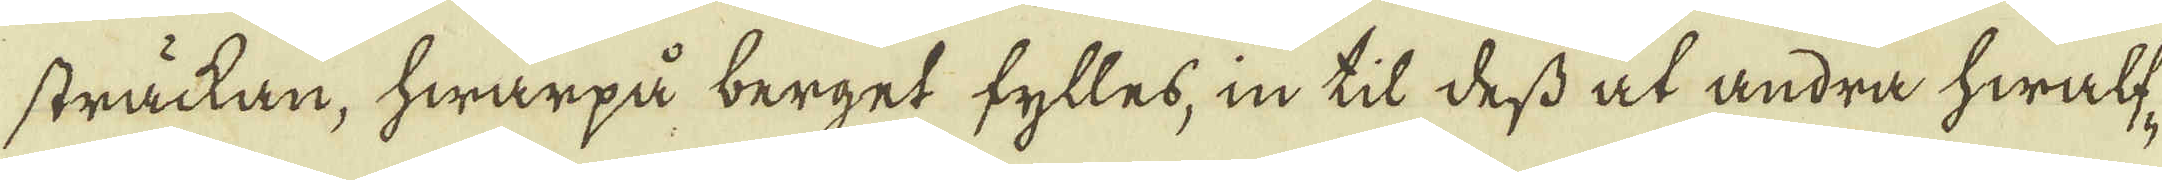sträckan, hwarpå berget fylles, in til dess at andra hwalf-
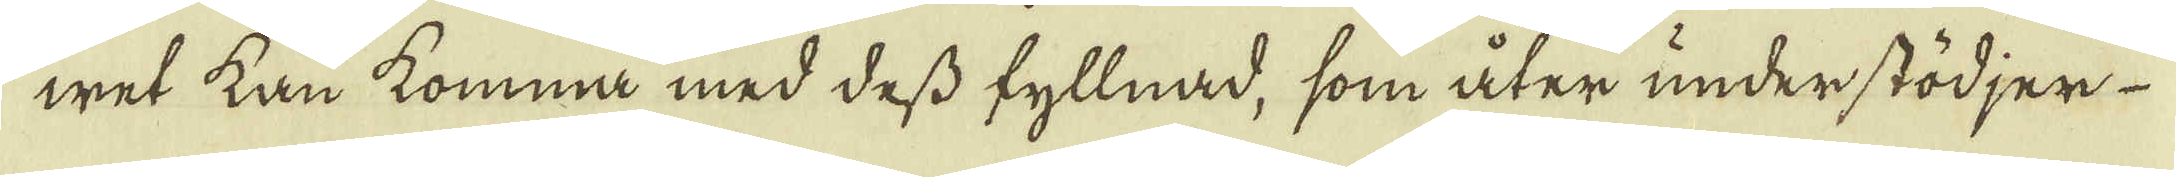wet kan komma med dess fyllnad, som åter understödjer
